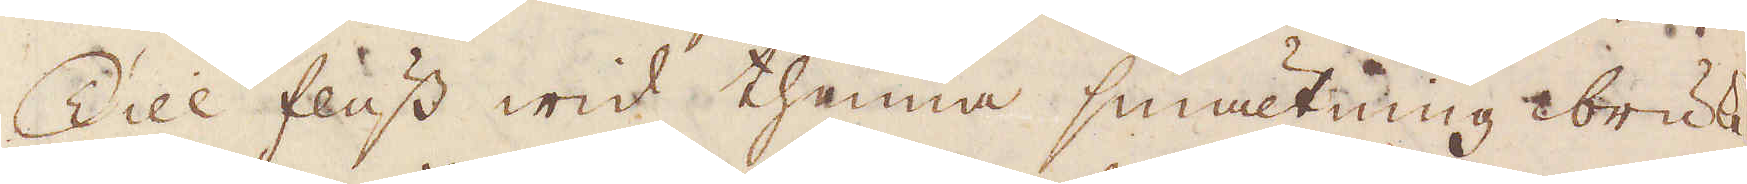Till fluss wid thenna smältning bruke
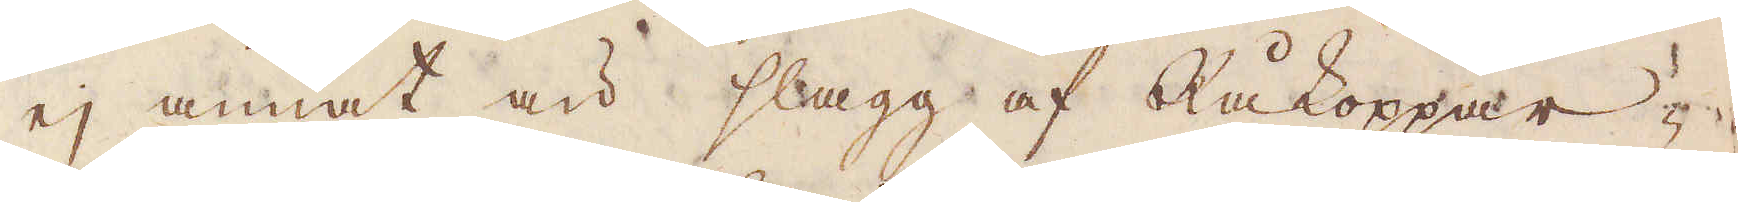ej annat än slagg af Råkoppar-
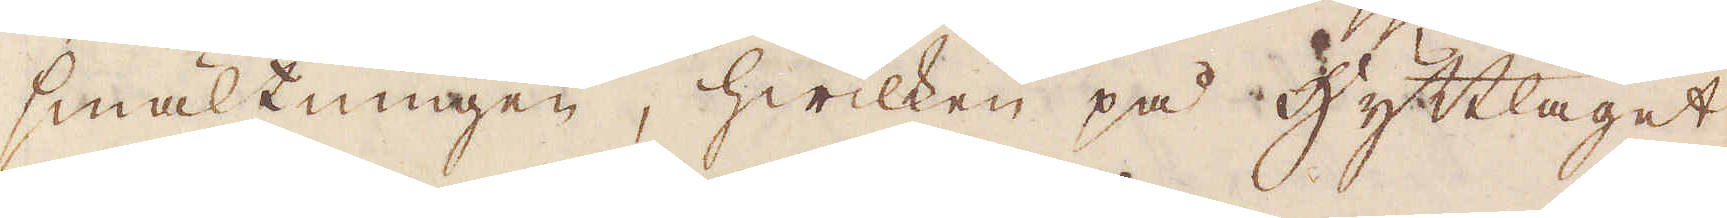smältningen, hwilken på hyttlaget
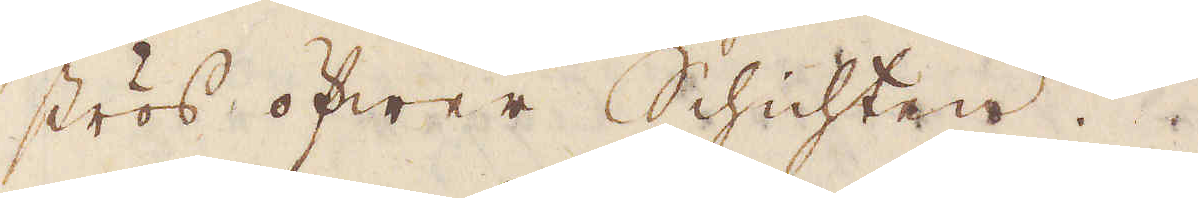strös öfwer Schichten.
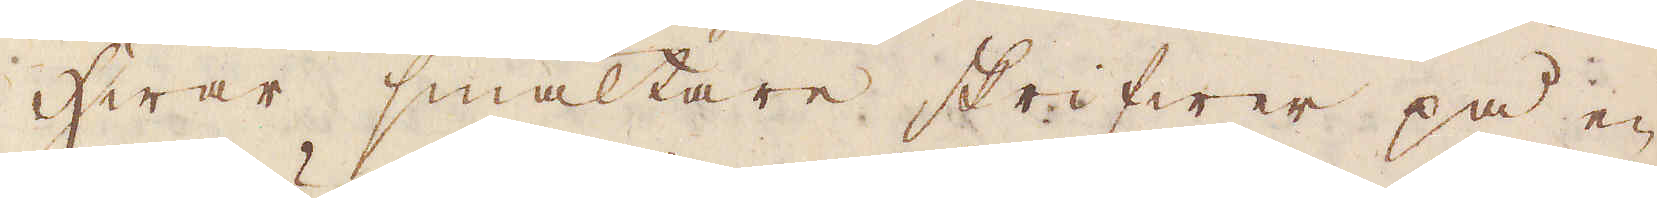Hwar smältare skrifwer på en
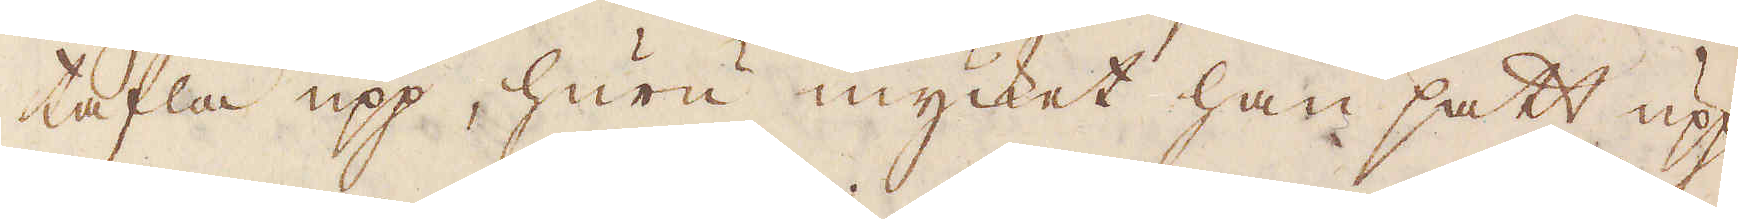tafla upp, huru mycket han satt upp
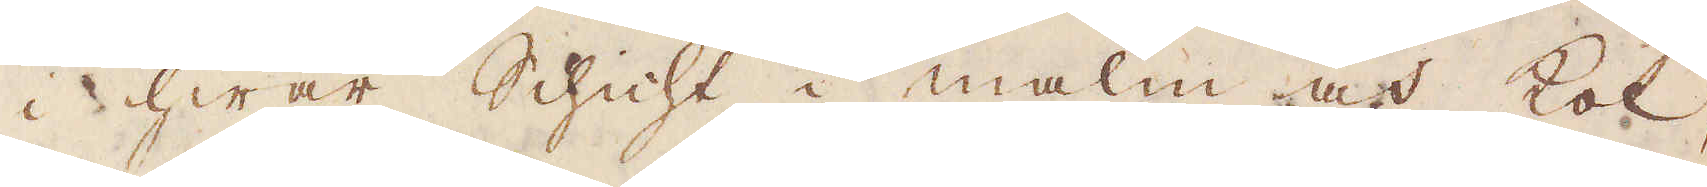i hwar Schicht i malm och kol,
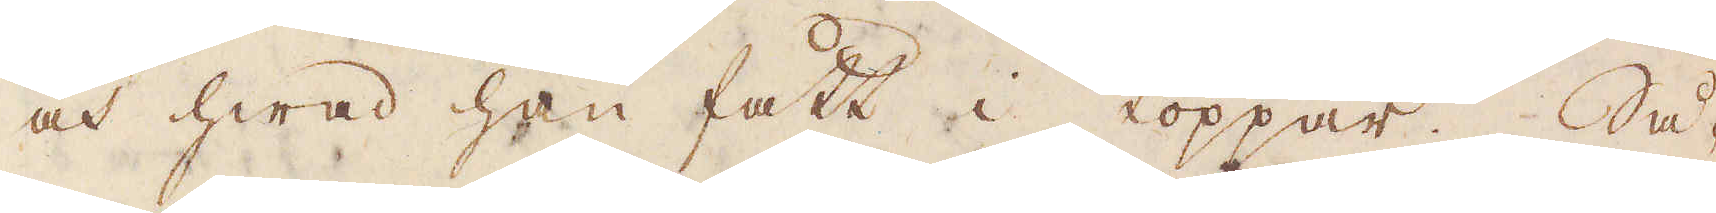och hwad han fått i koppar. Så-
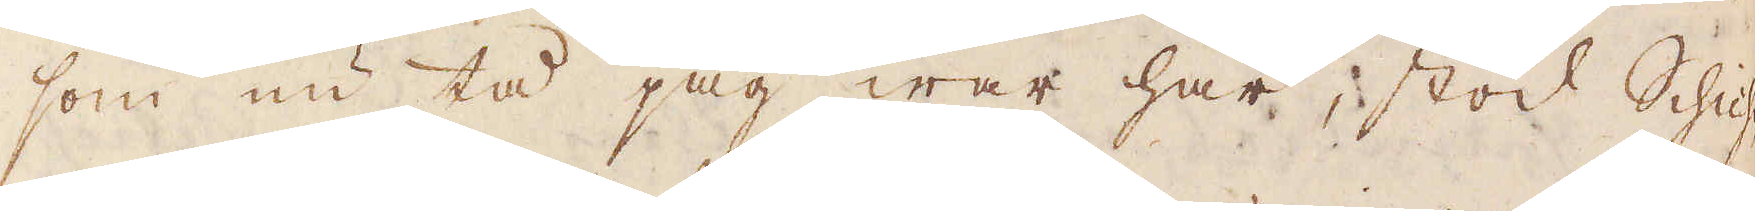som nu tå jag war här, stod Schich-
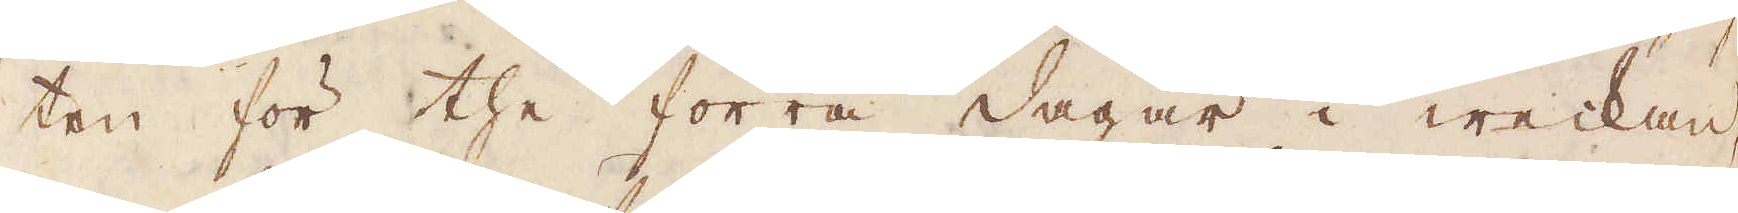ten för the förra dagar i weckan,
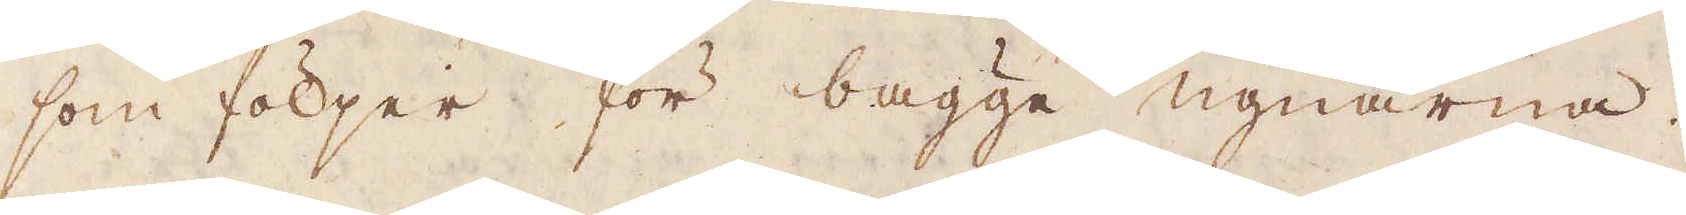som följer för bägge ugnarna.
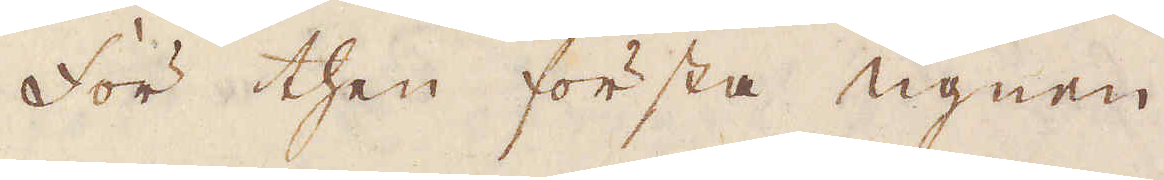för then första ugnen.
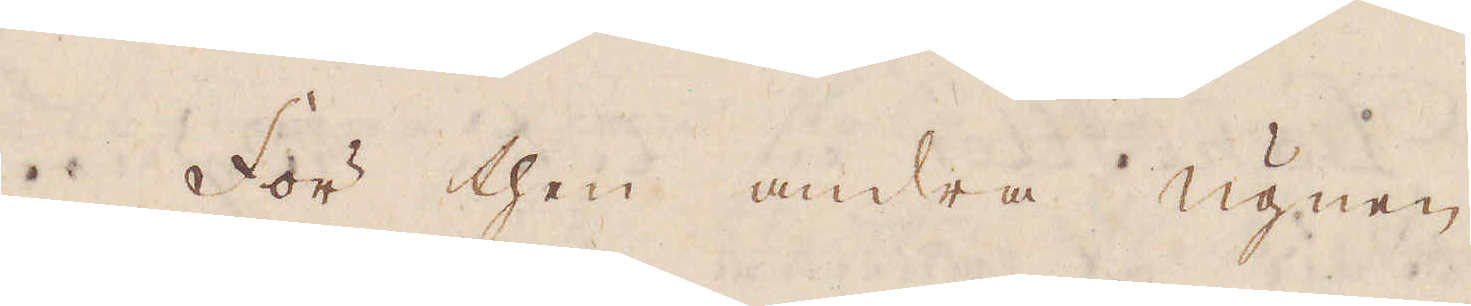För then andra ugnen
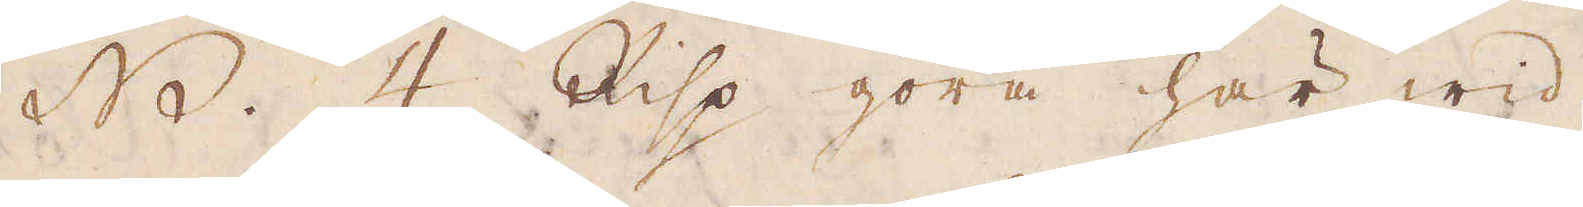NB. 4. Risp göra här wid
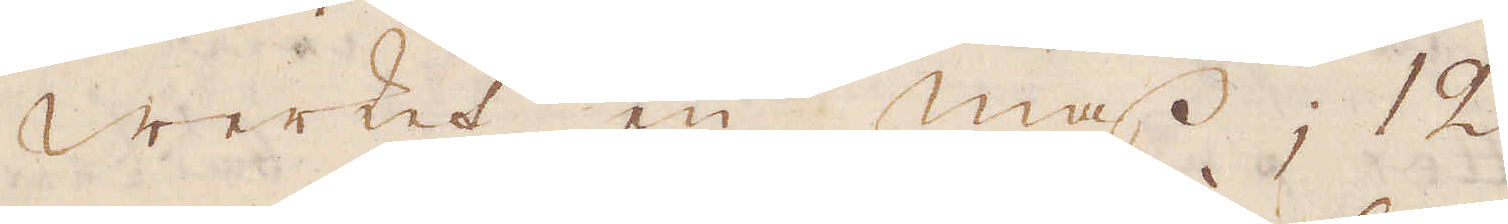wWerket en mass; 12
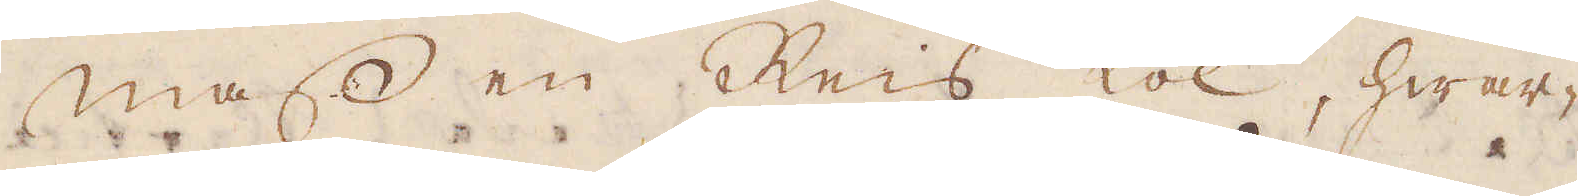Mass en Reis kol, hwar-
